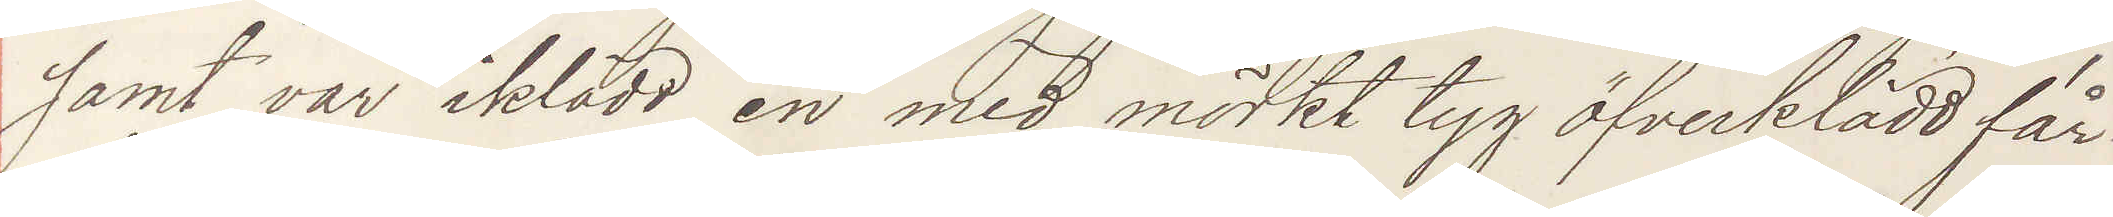samt var iklädd en med mörkt tyg öfverklädd får¬
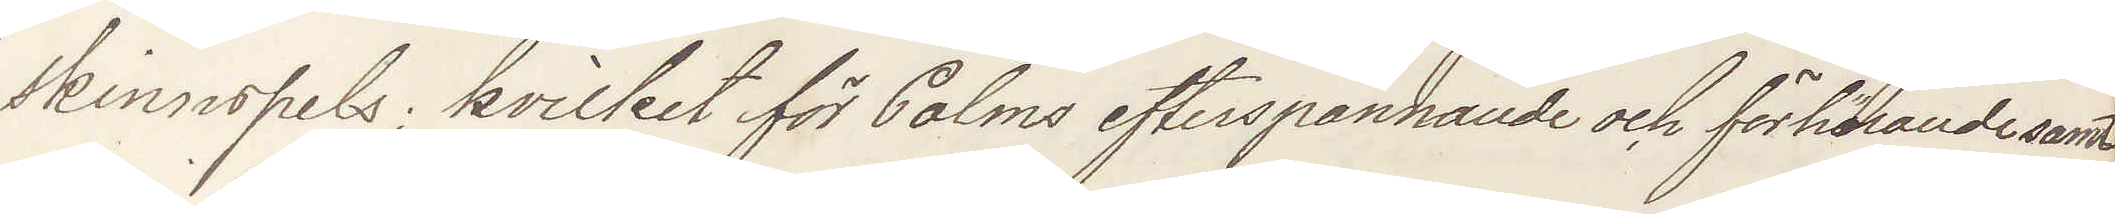skinnspels; hvilket för Palms efterspanande och förhörande samt
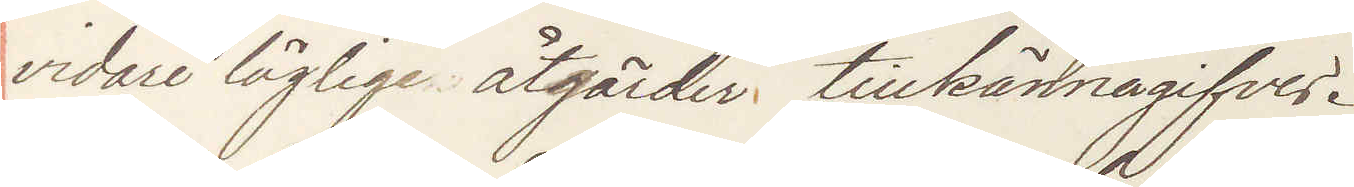vidare lägliga åtgärder tillkännagifves.
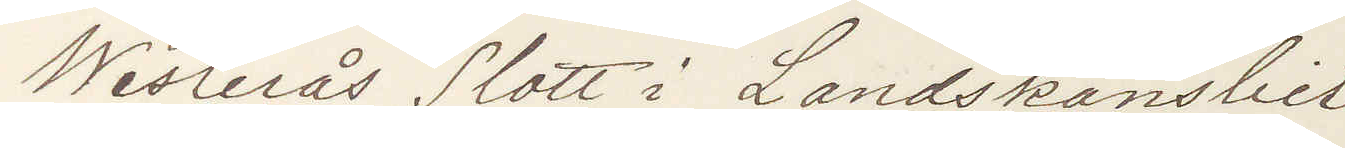Westerås Slott i Landskansliet
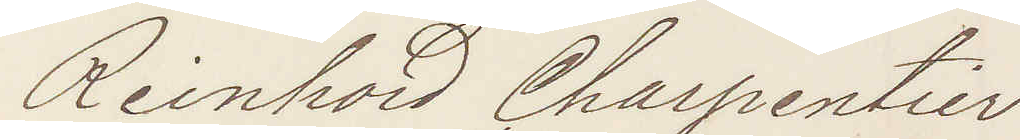Reinhold Charpentier
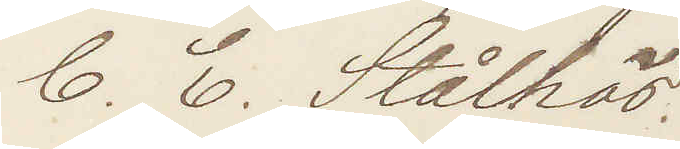C. E. Stålhös.
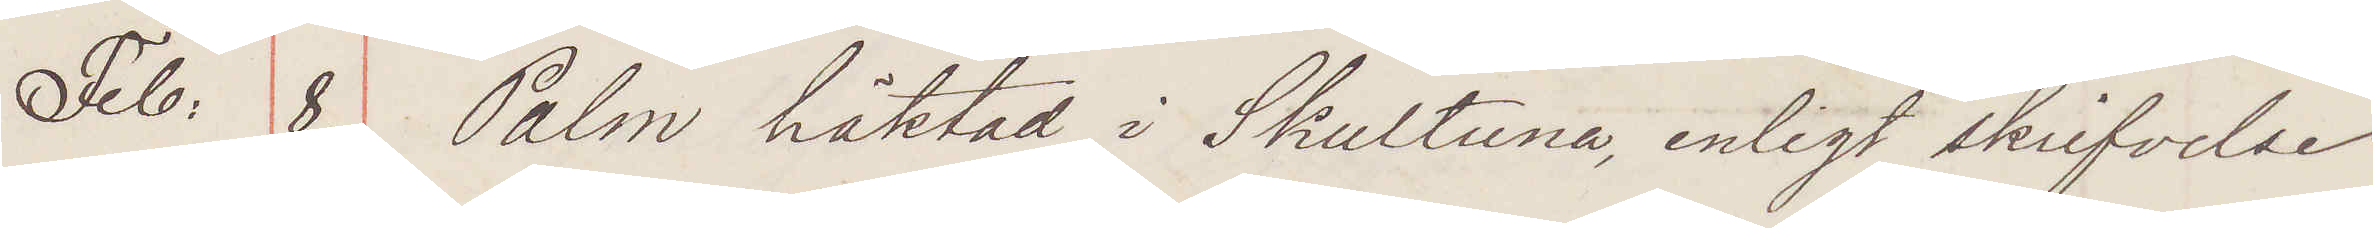Feb: 8. Palm häktad i Skultuna, enligt skrifvelse
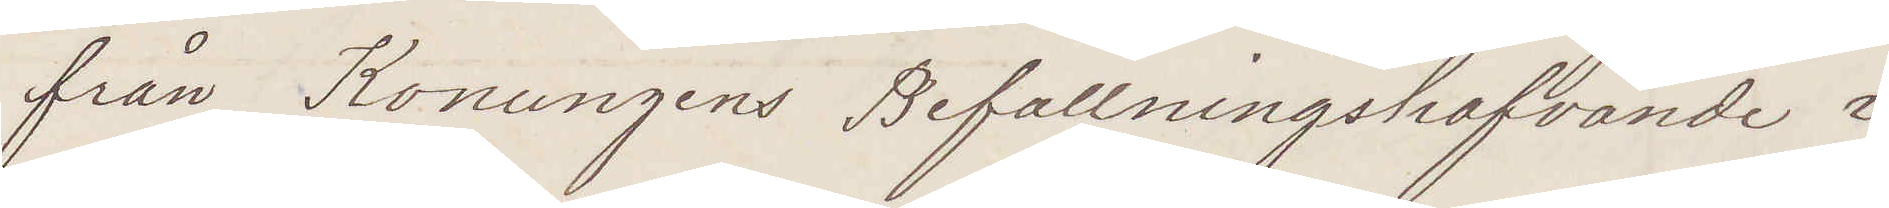från Konungens Befallningshafvande i
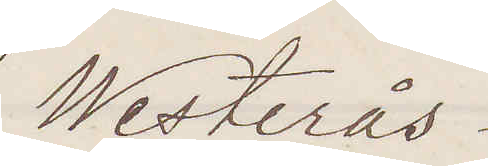Westerås.
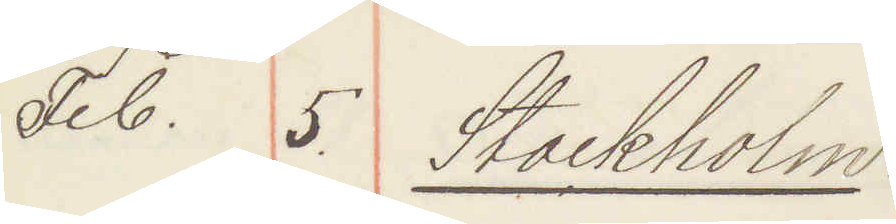1876. Feb. 5. Stockholm:
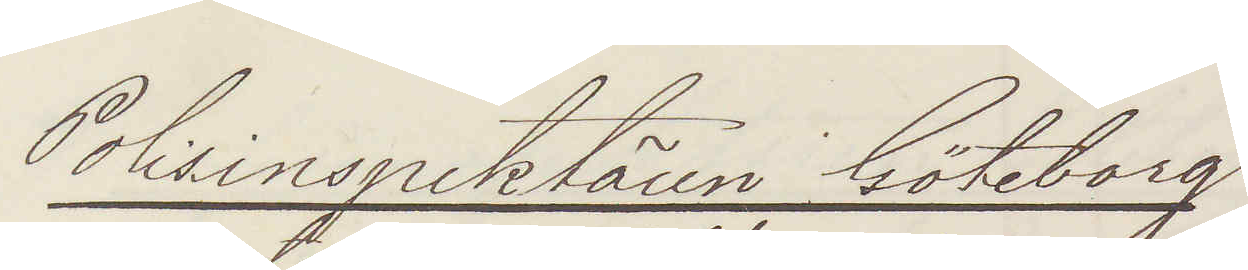Polisinspektören Göteborg
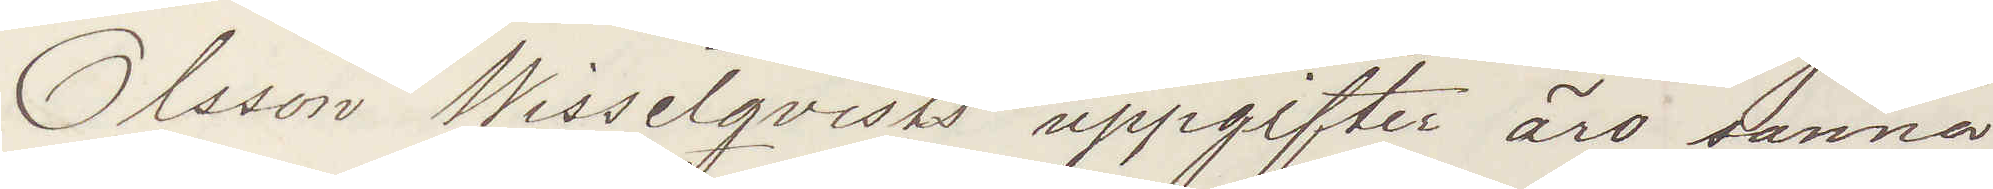Olsson Wisselqvists uppgifter äro sanna
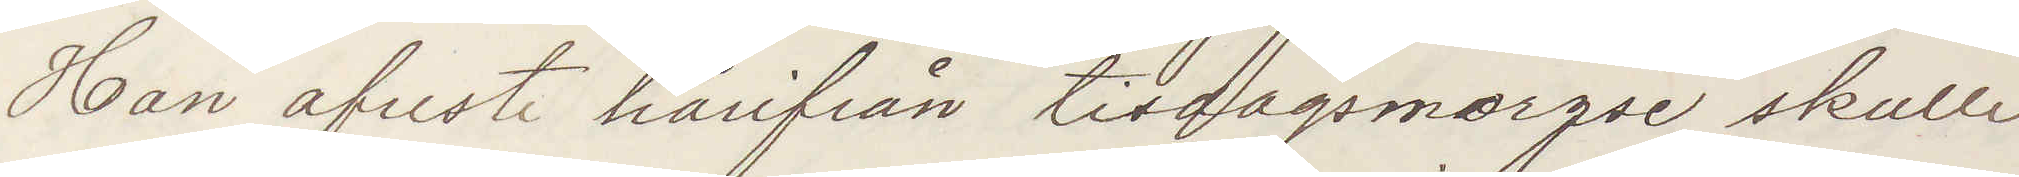Han afrest härifrån tisdagsmorgse skulle
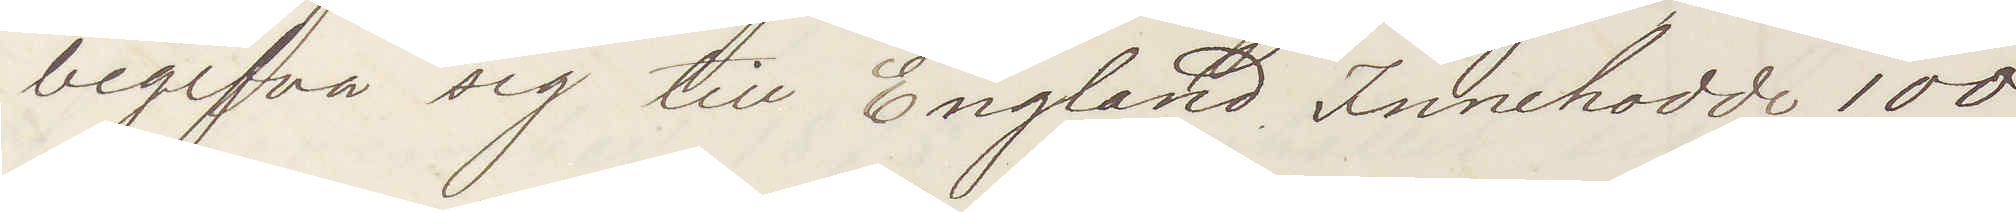begifva sig till England Innehar 100
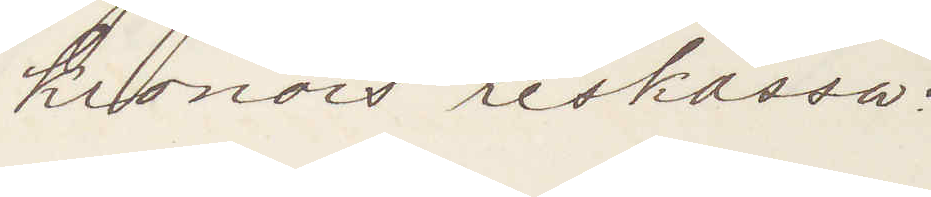kronors reskassa:
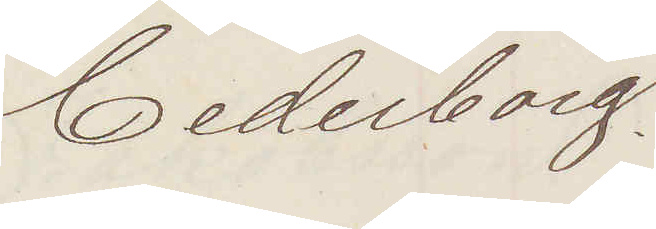Cederborg.
